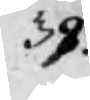39.
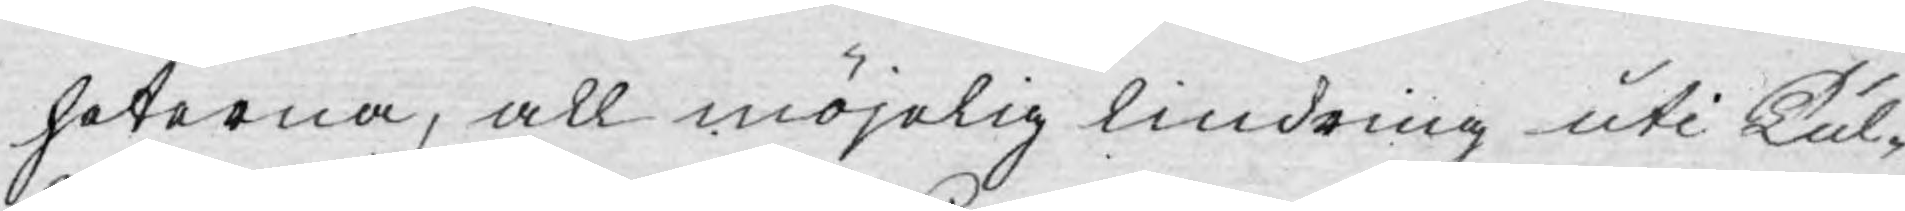heterna, all möjelig lindring uti Tul-
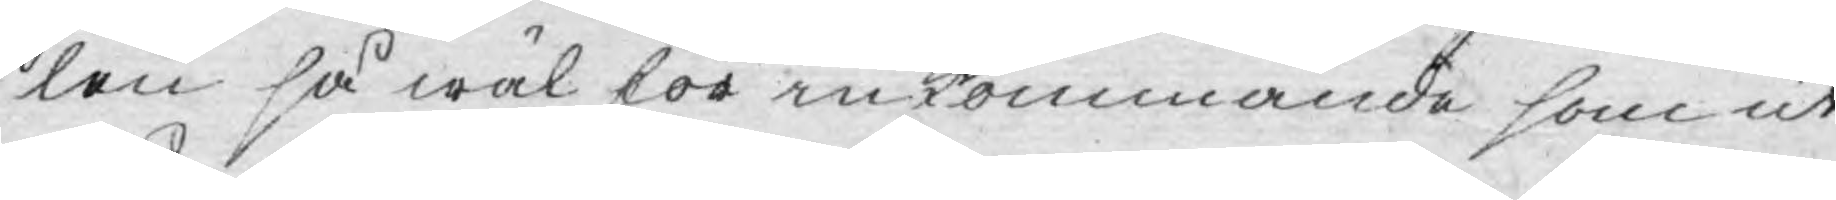len så wäl för inkommande som ut¬
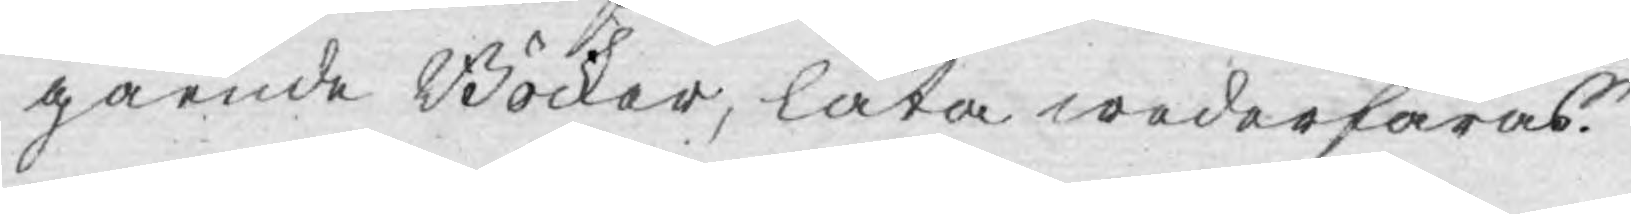gående Böcker, låta wederfaras.
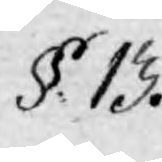§. 13.
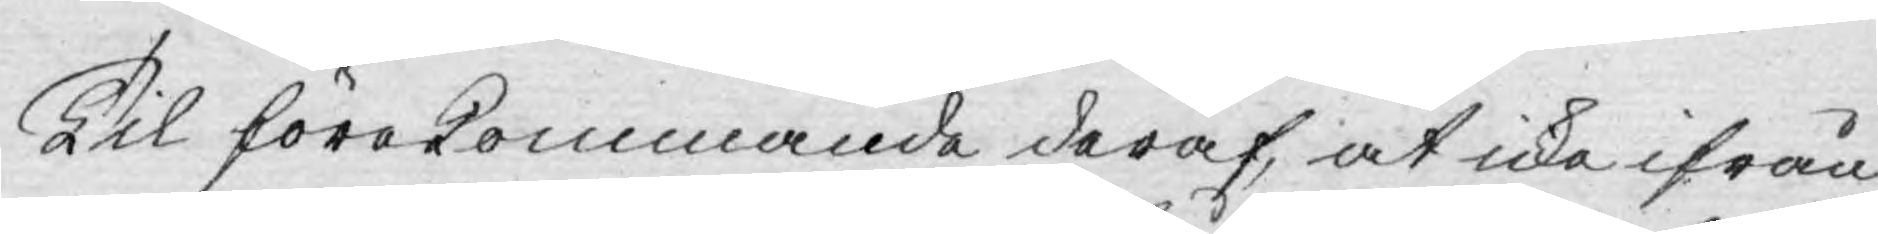Til förekommande deraf, at icke ifrån
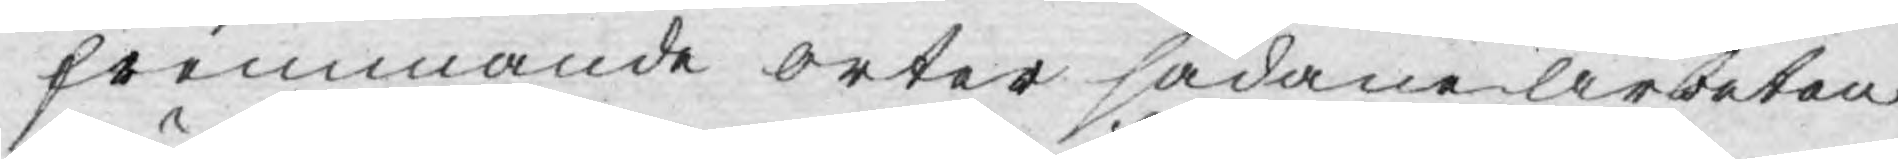fremmande orter sådane arbeten
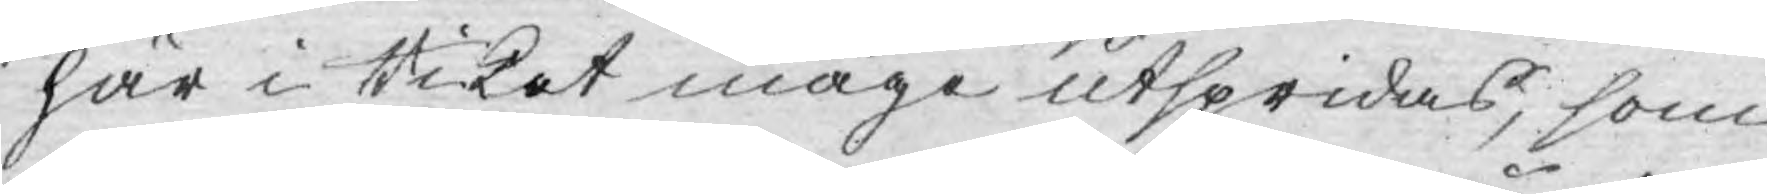här i Riket måge utspridas, som
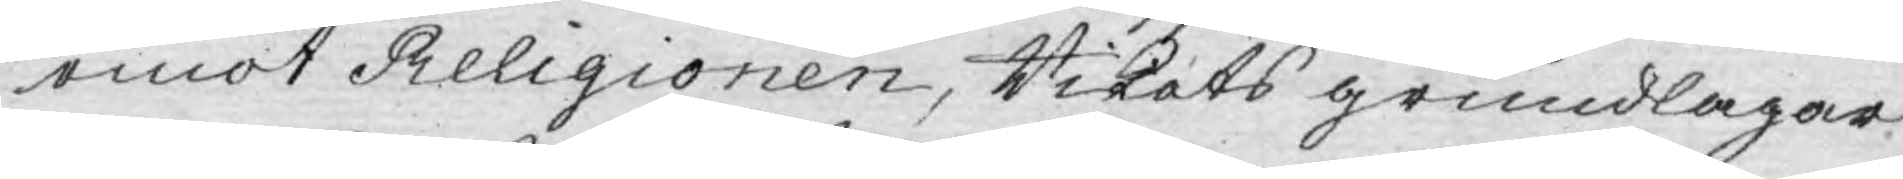emot Religionen, Rikets grundlagar
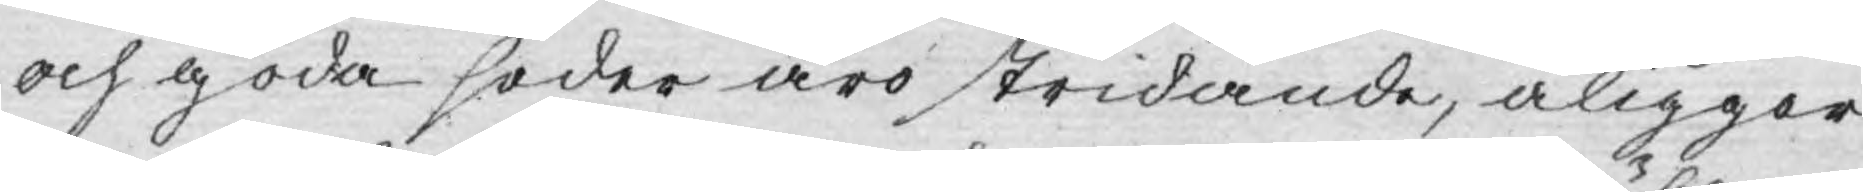och goda seder äro stridande, åligger
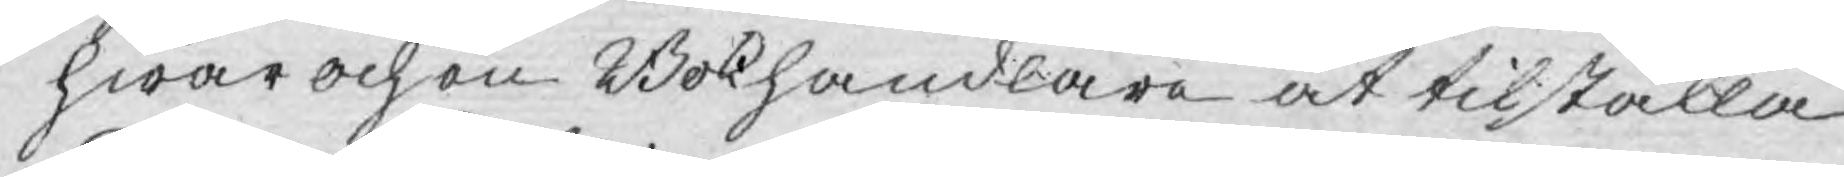hwar och en Bokhandlare at tilställa
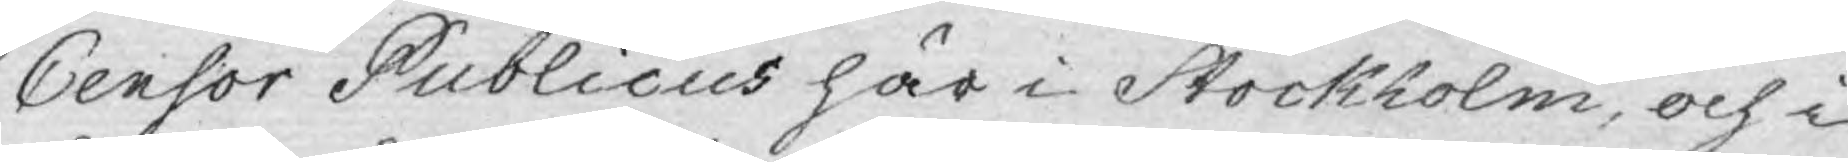Censor Publicus här i Stockholm, och i
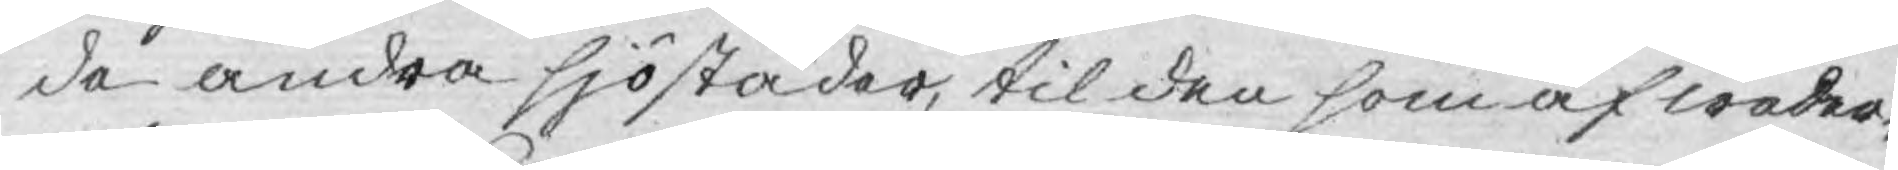de andra sjöstäder, til den som af weder¬
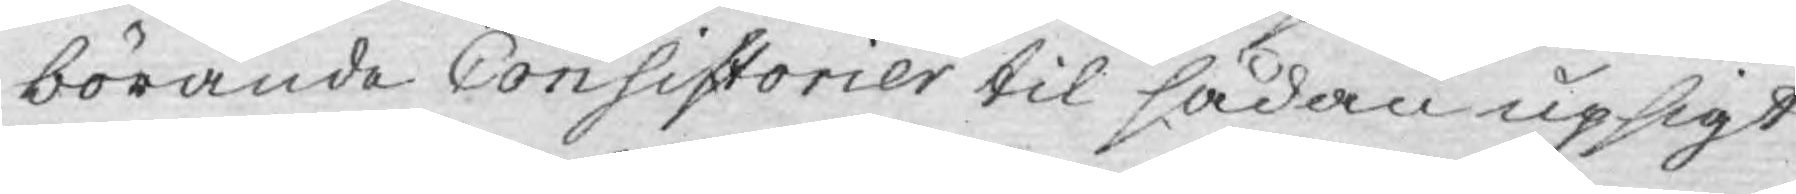börande Consistorier til sådan upsigt
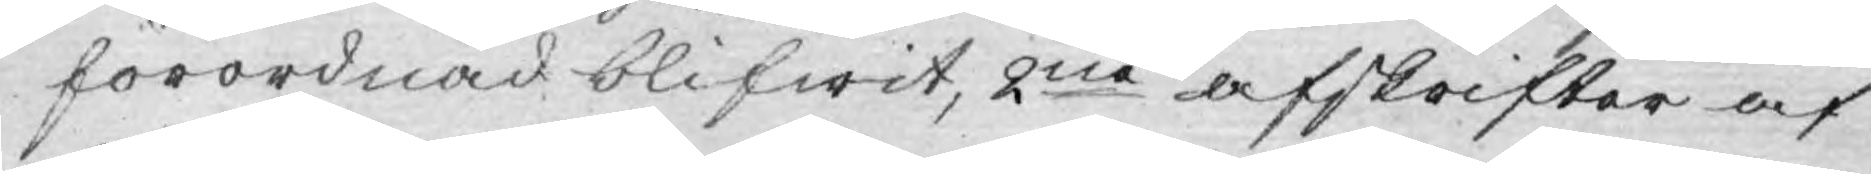förordnad blifwit, 2ne afskrifter af
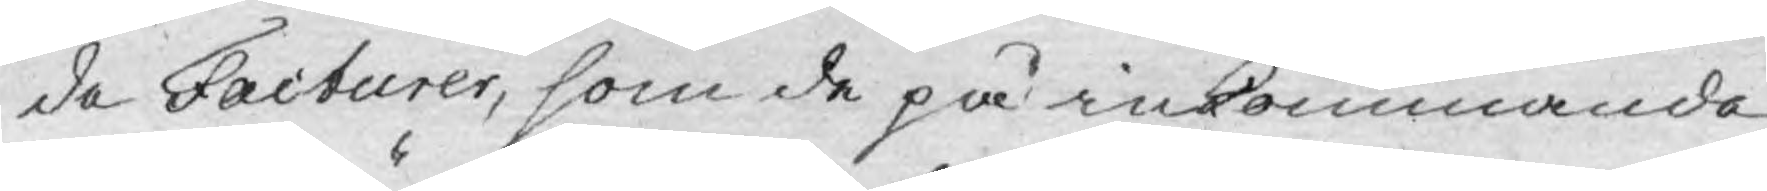de Facturer, som de på inkommande
